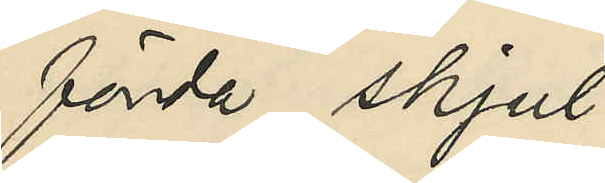förda skjul;
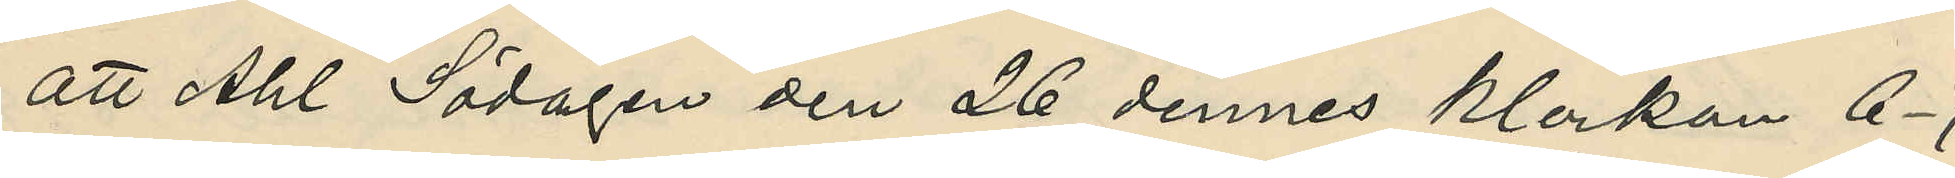att Ahl Södagen den 26 dennes klockan 6-7
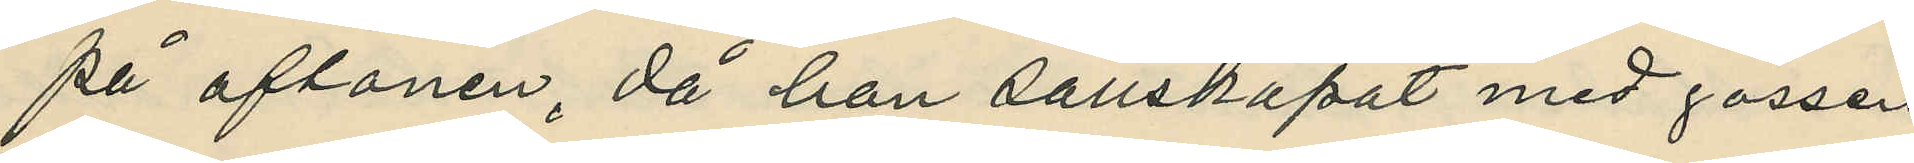på aftonen, då han sällskapat med gossen
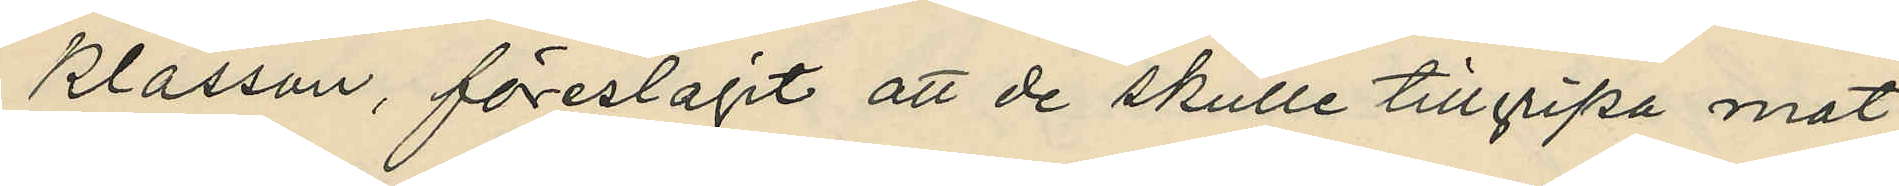Klasson, föreslagit att de skulle tillgripa mat¬
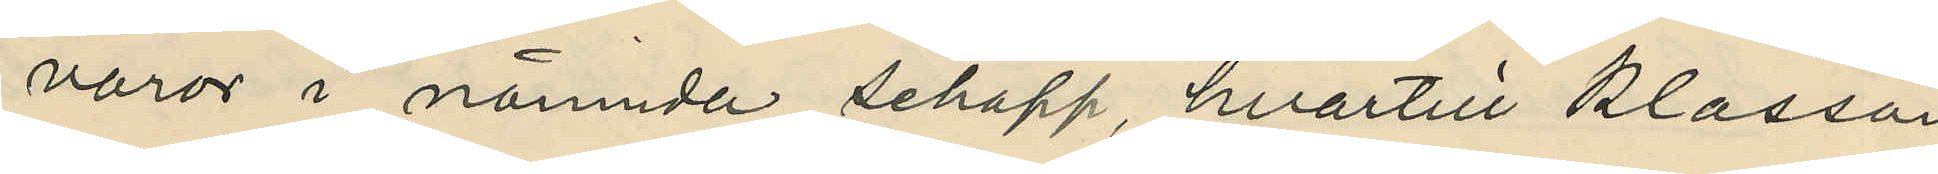varor i nämnda schapp, hvartill Klasson
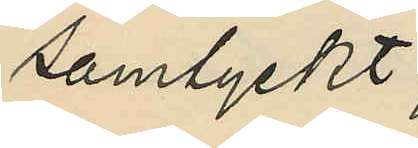samtyckt;
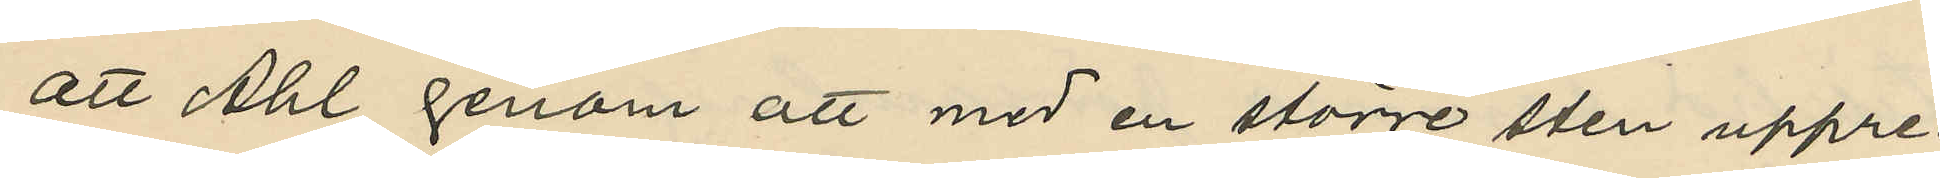att Ahl genom att med en större sten uppre¬
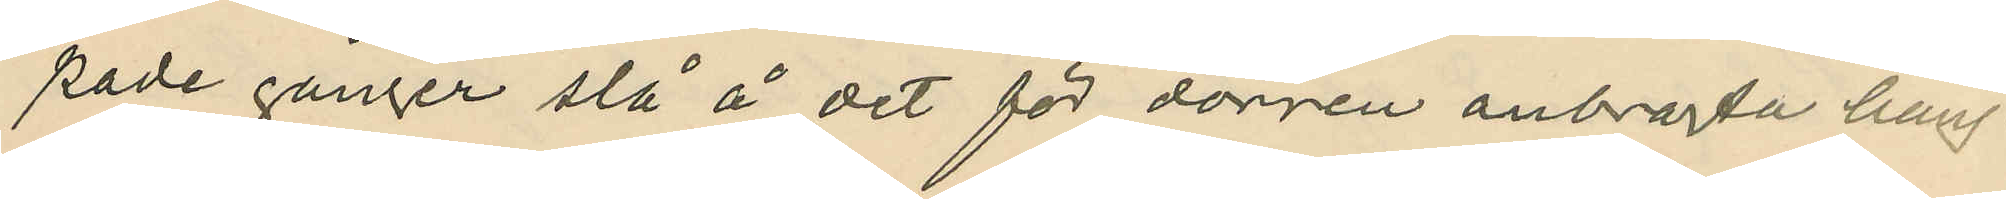pade gånger slå å det för dörren anbragta häng¬
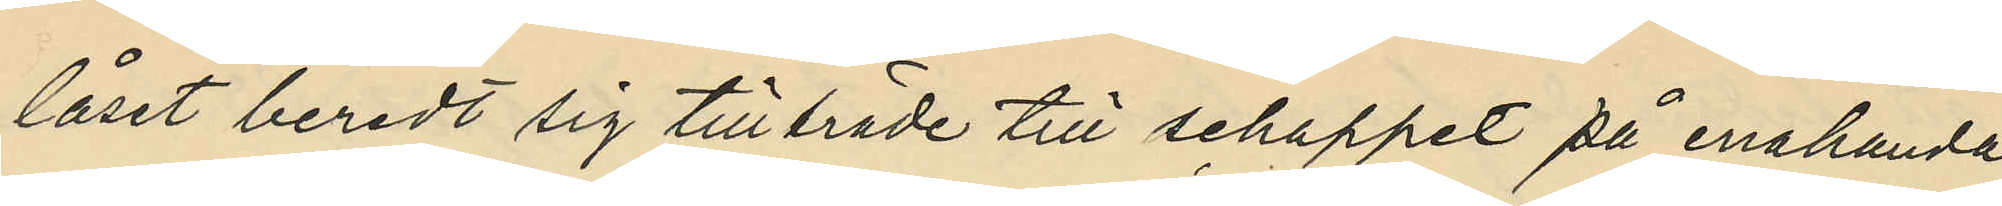låset beredt sig tillträde till schappet på enahanda
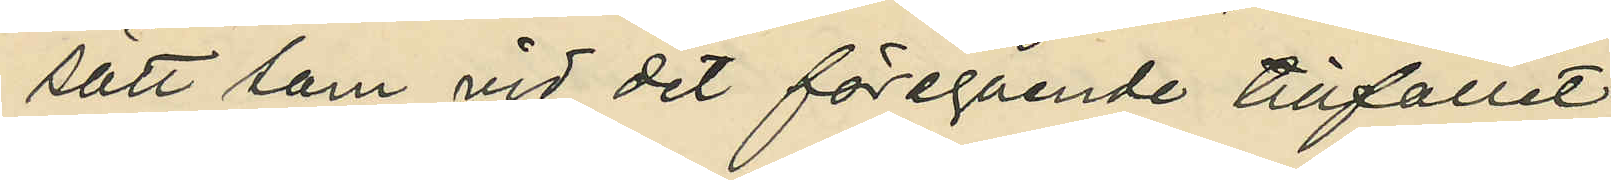sätt som vid det föregående tillfallet;
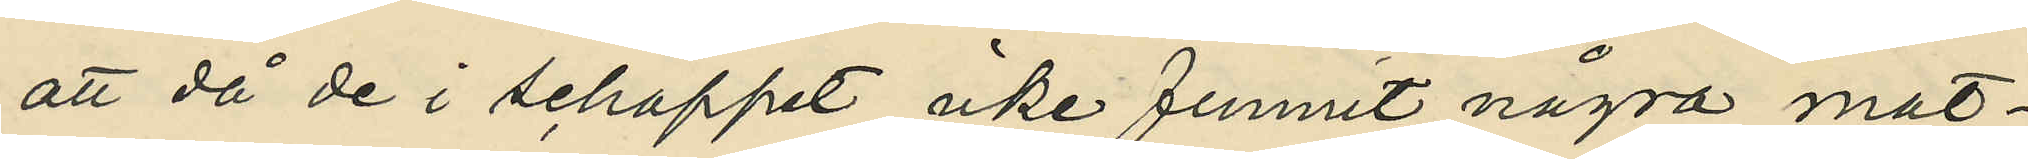att då de i schappet icke funnit några mat¬
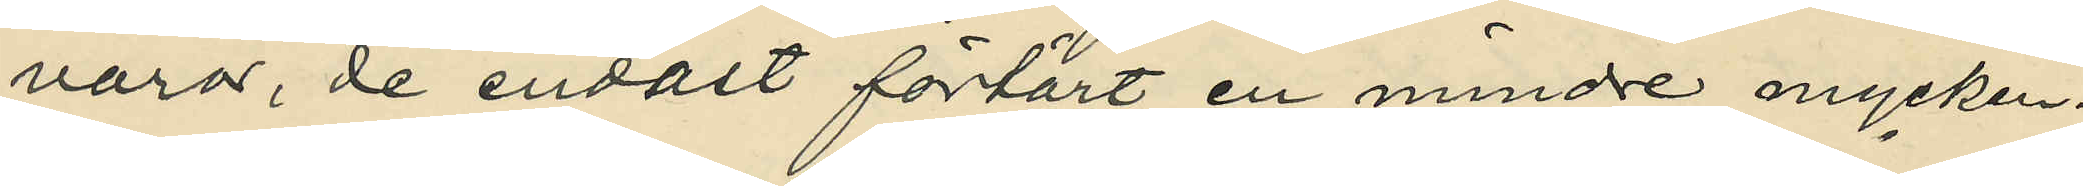varor, de endast förtärt en mindre mycken¬
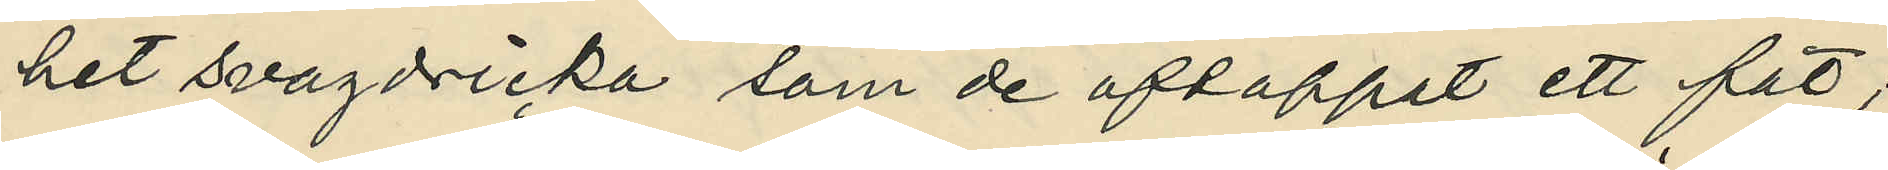het svagdricka som de aftappat ett fat;
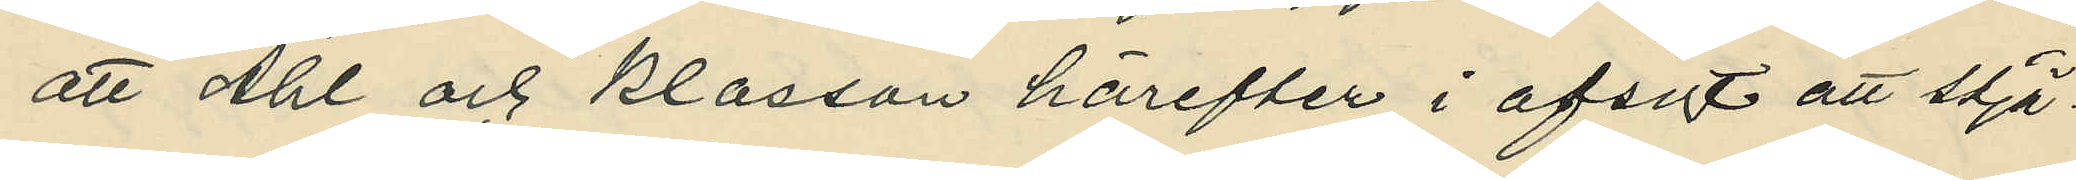att Ahl och Klasson härefter i afsigt att stjä¬
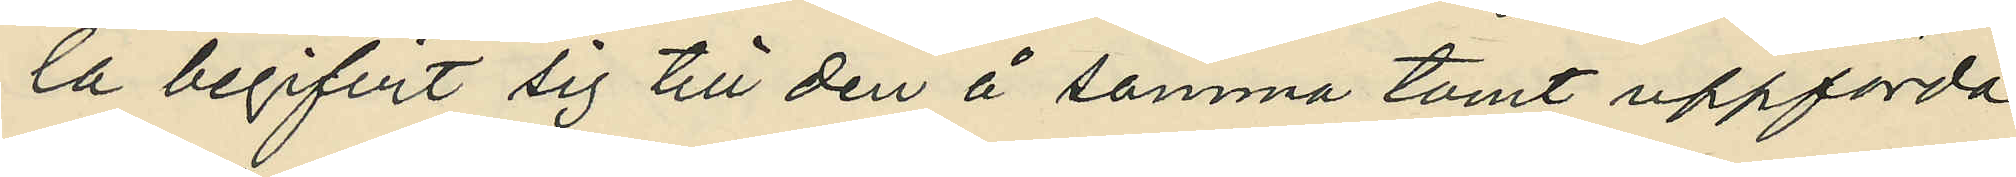la begifvit sig till den å samma tomt uppförda
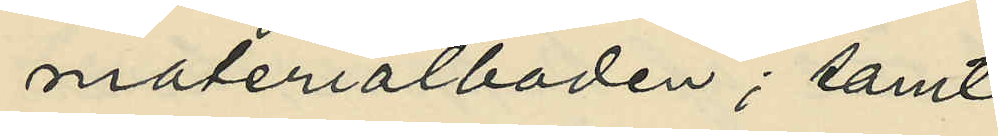materialboden; samt
